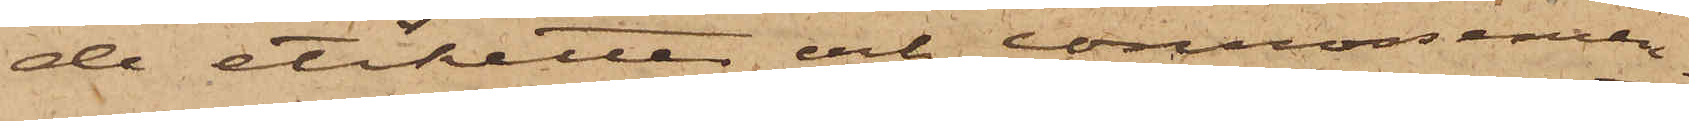de etiketter och connossemen¬
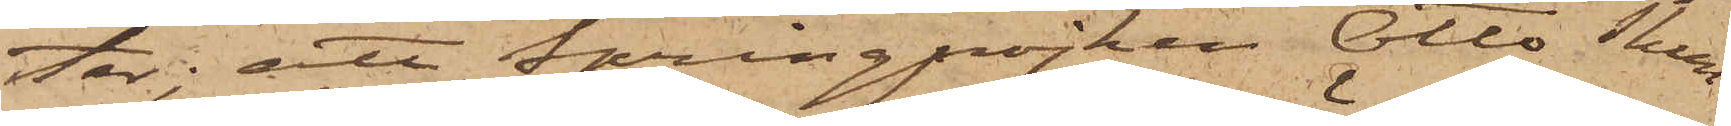ter; att springpojken Otto Thun¬
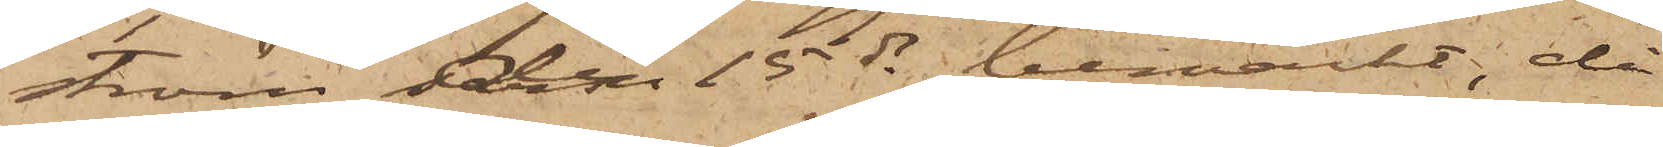ström den 15 ds bemärkt, då
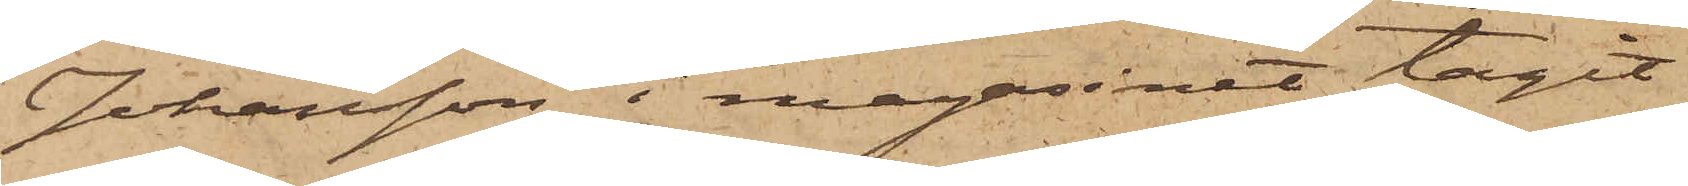Johansson i magasinet tagit
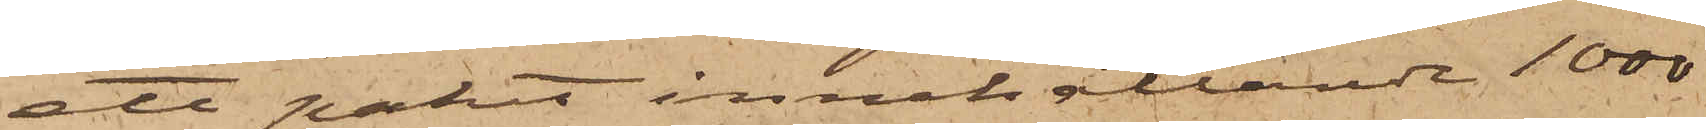ett paket innehållande 1000
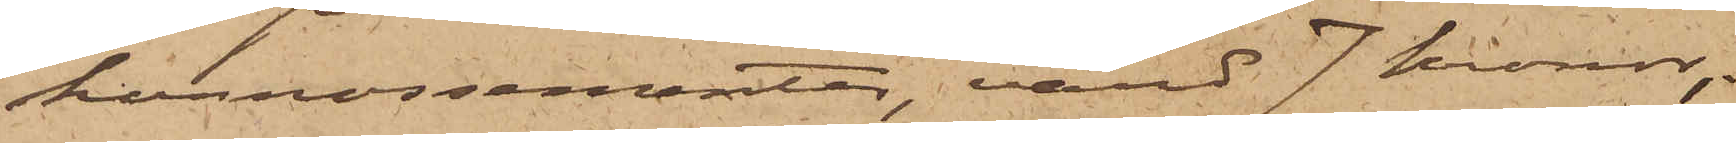konnossementer, värd 7 kronor;
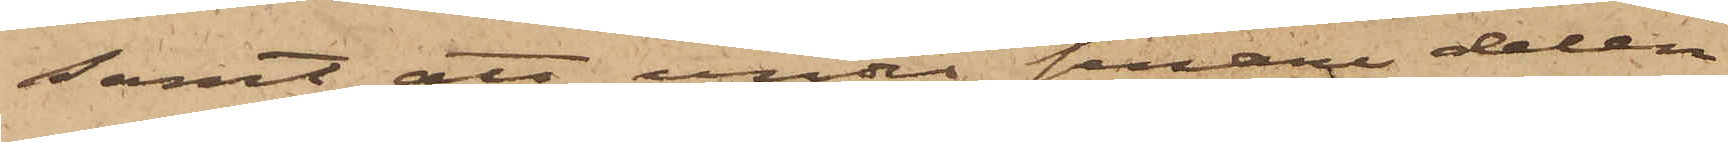samt att under senare delen
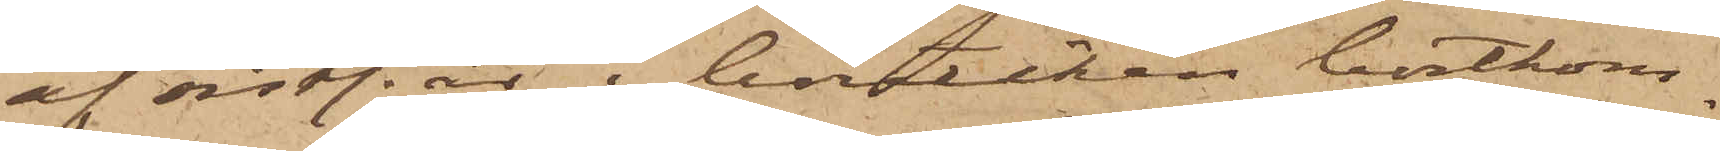af sistl. år i butiken bortkom¬
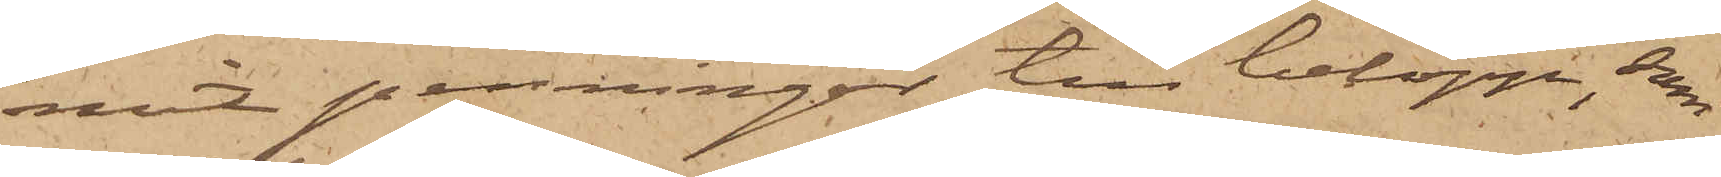mit penningar till belopp, som
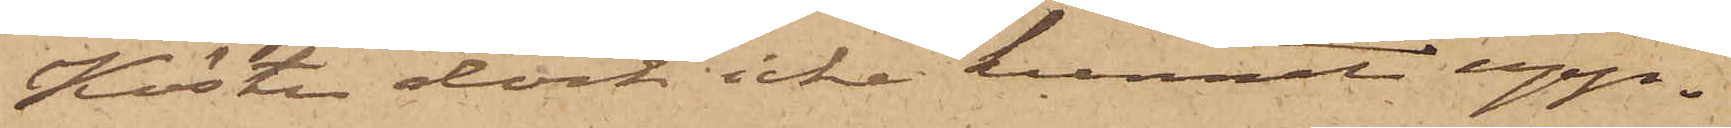Köster dock icke kunnat upp¬
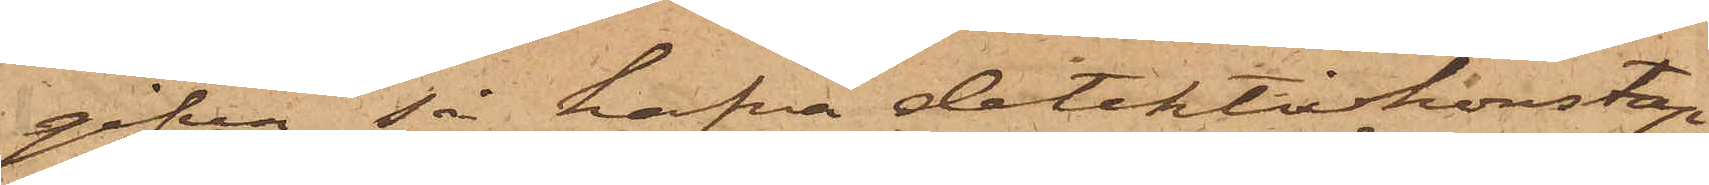gifva, så hafva detektivkonstap¬
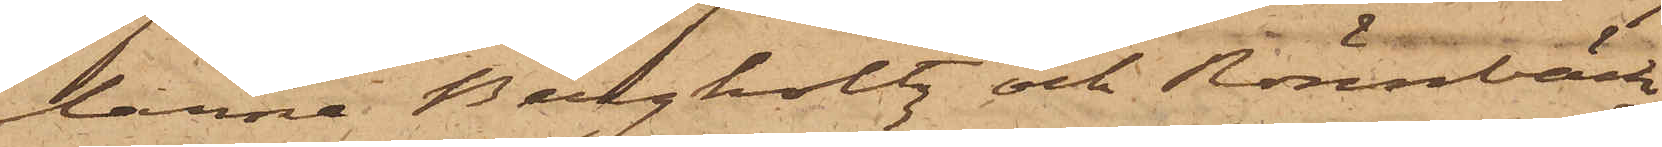larna Bergholtz och Rönnbäck
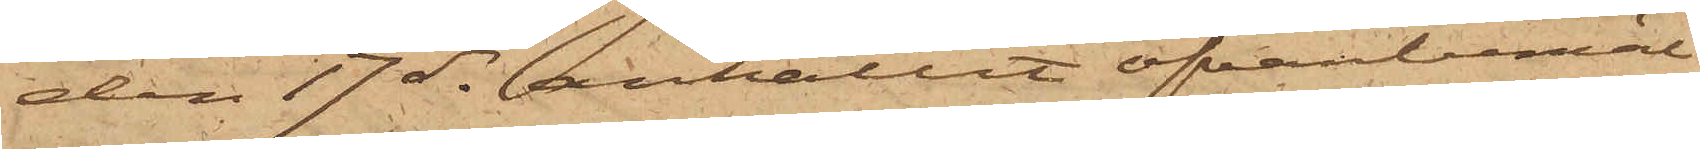den 17 ds anhållit ofvanbemäl¬
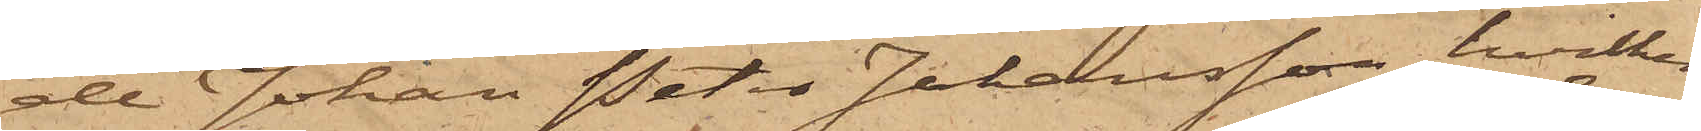de Johan Peter Johansson, hvilken
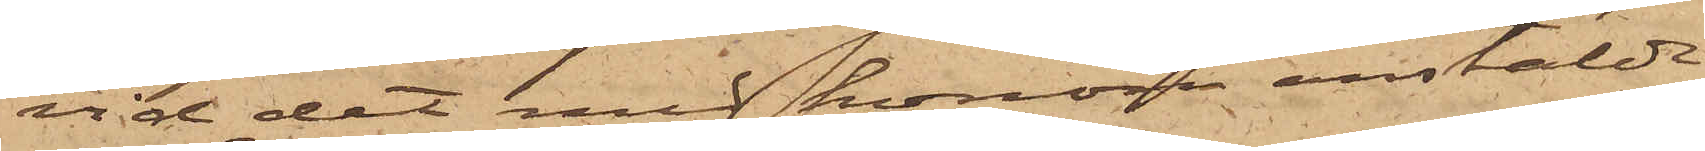vid det med honom anstälde
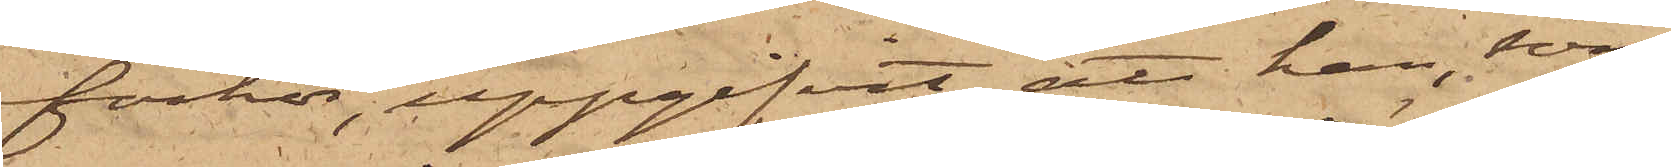förhör, uppgifvit, att han, som
